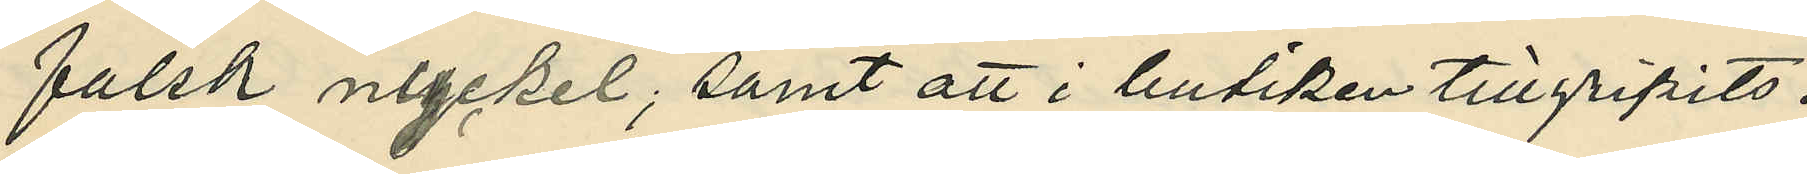falsk nyckel; samt att i butiken tillgripits:
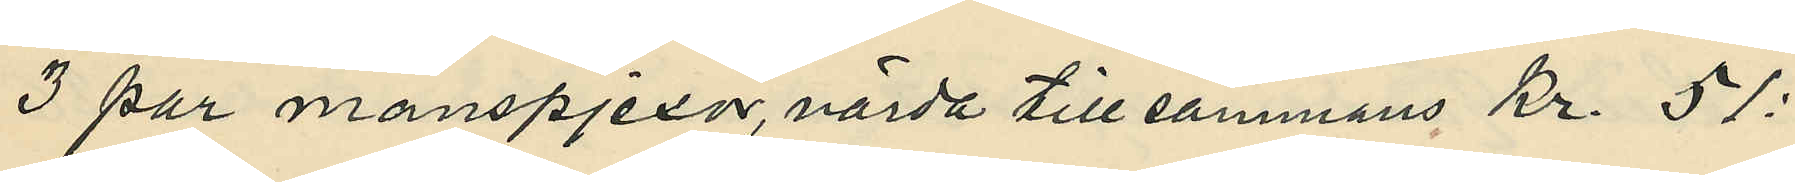3 par manspjexor, värda till sammans Kr. 51:
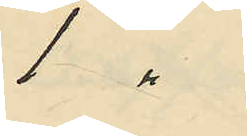1 "
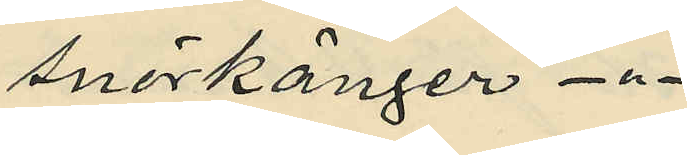snörkänger - " -
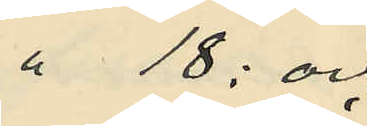" 18: och
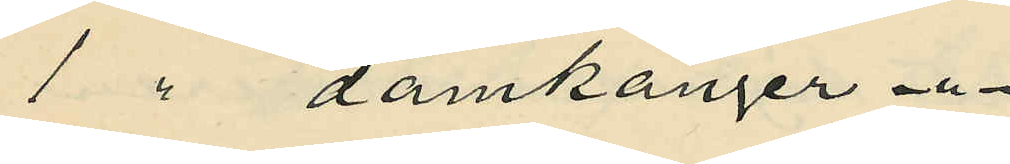1 " damkänger - " -
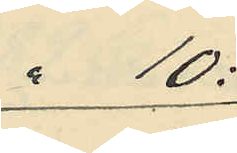" 10:
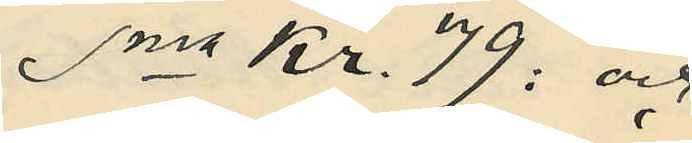Sma Kr. 79: och
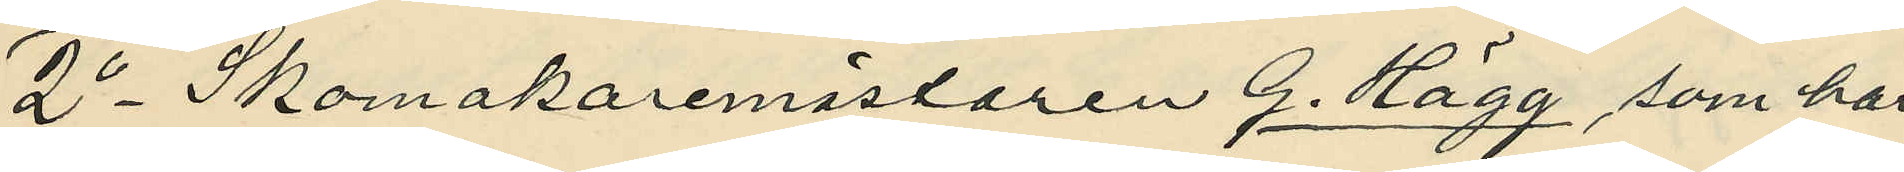2o Skomakaremästaren G. Hägg, som har
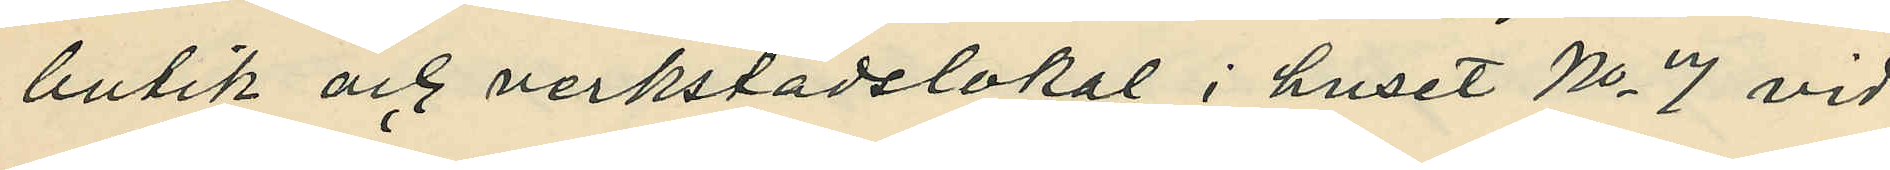butik och verkstadslokal i huset No 7 vid
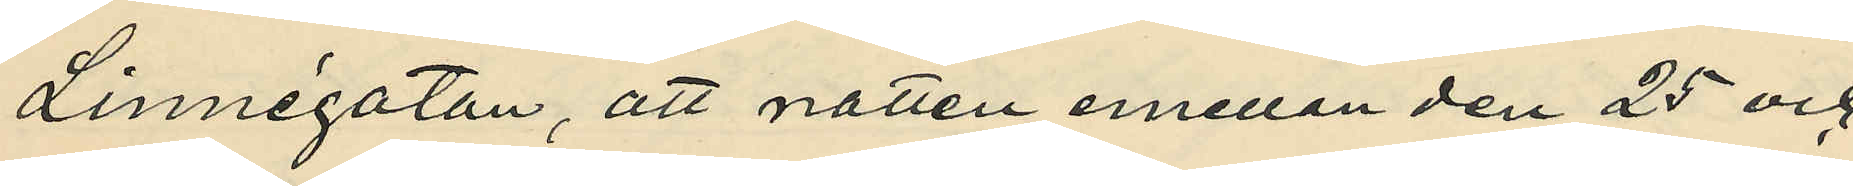Linnégatan, att natten emellan den 25 och
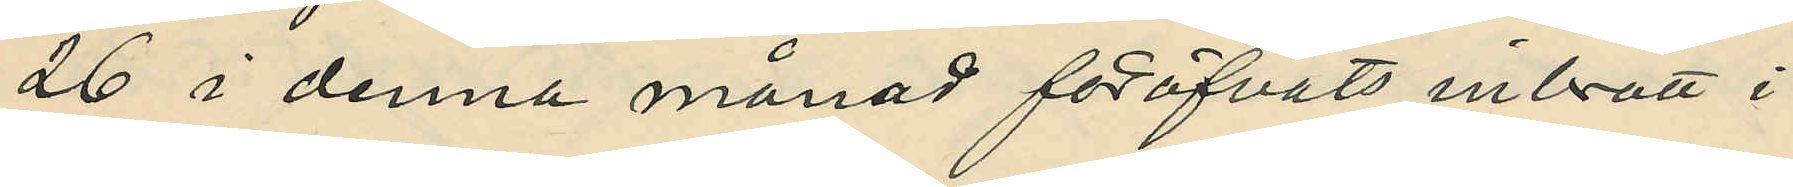26 i denna månad föröfvats inbrott i
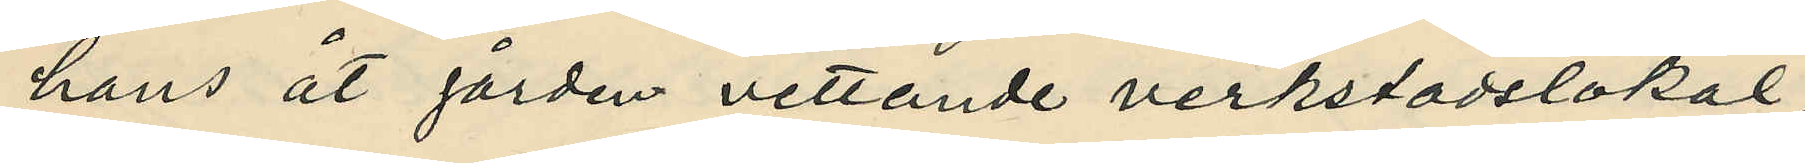hans åt gården vettande verkstadslokal,
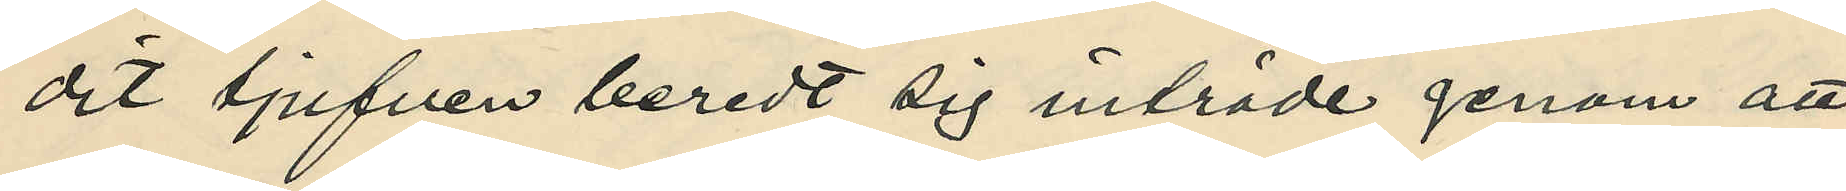dit tjufven beredt sig inträde genom att
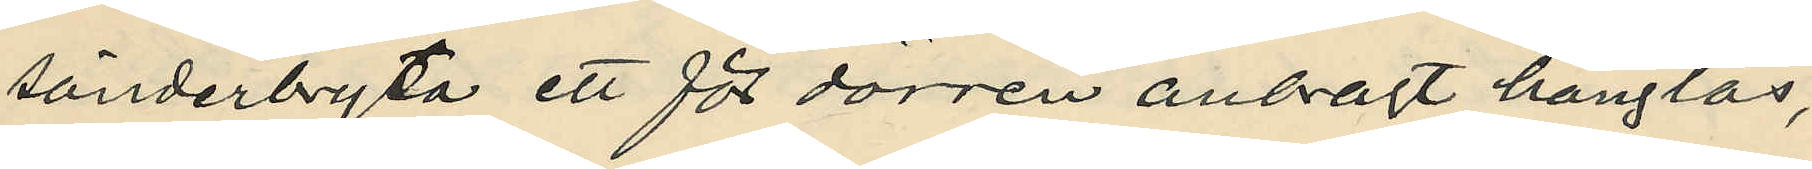sönderbryta ett för dörren anbragt hänglås;
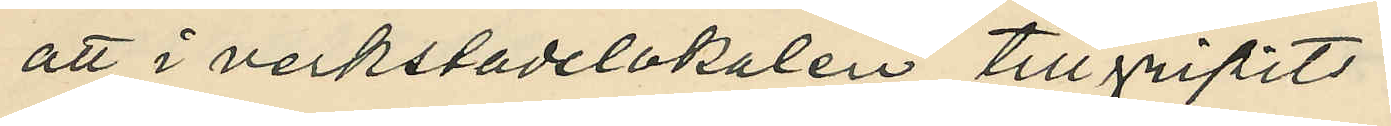att i verkstadslokalen tillgripits:
